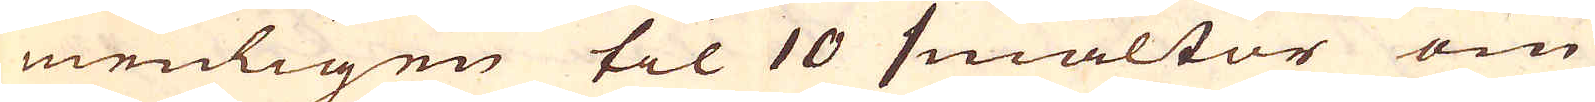menligen til 10 smältor om
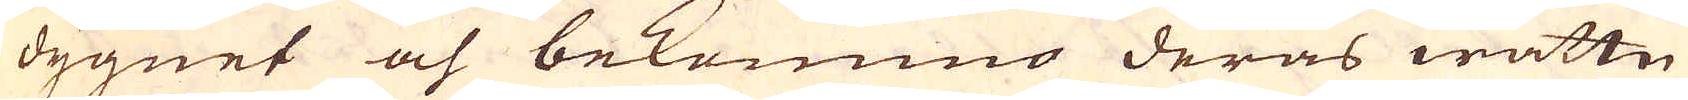dygnet och bekommo deras wattn
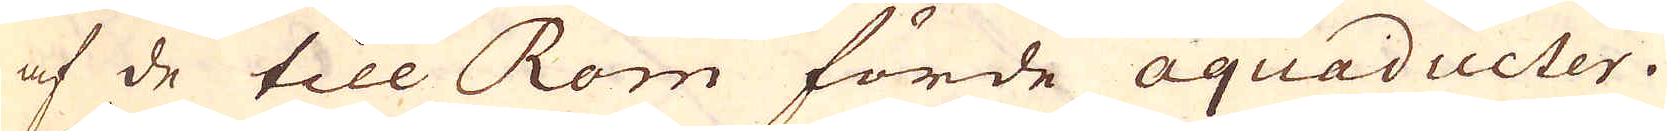af de till Rom förde aquaducter.
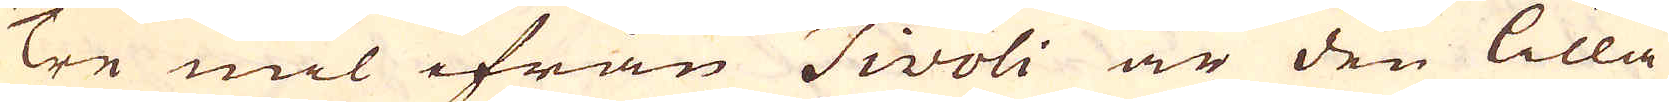Tre mil ifrån Tivoli är den lilla
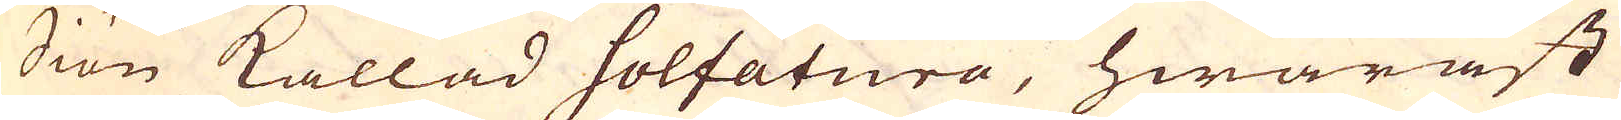Siön kallad Solfatura, hwaräst
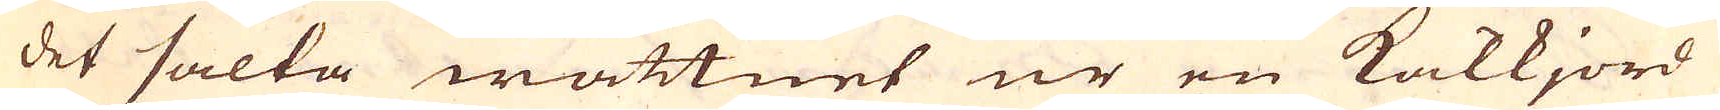det salta wattnet ur en Kalkjord
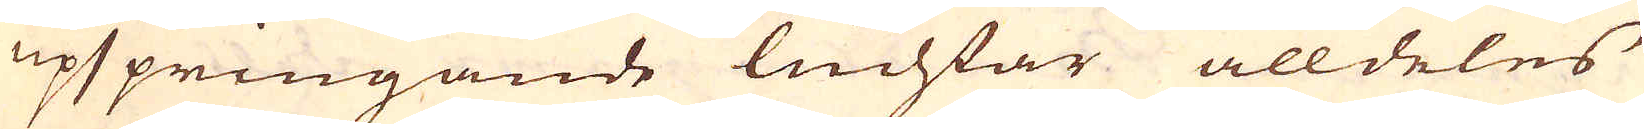upspringande luchtar alldeles
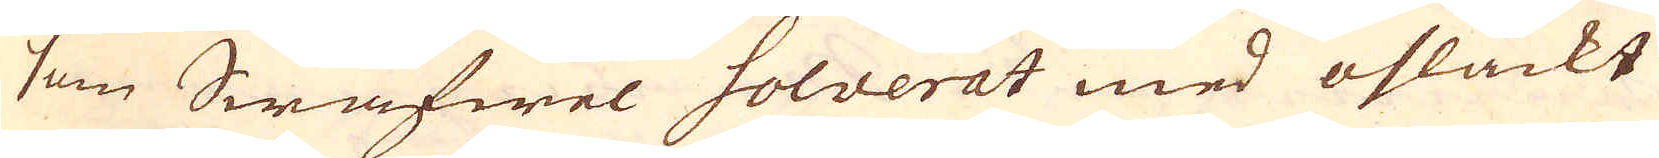som Swafwel solverat med osläckt
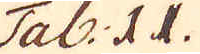Tab: II
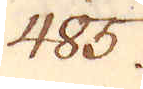485.
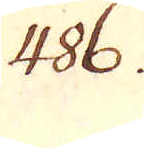486.
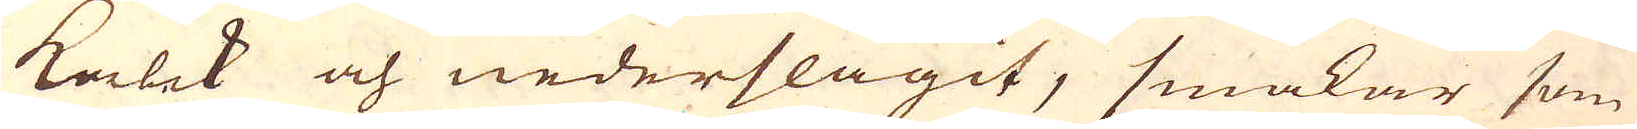kalek och nederslagit, smakar som
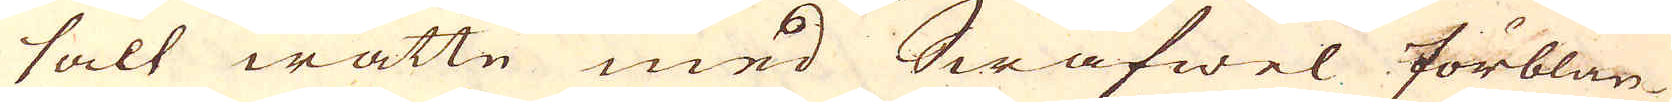salt wattn med Swafwel förblan-
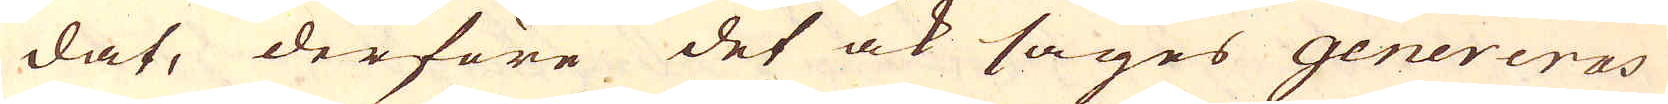dat, derföre det ock säges genereras
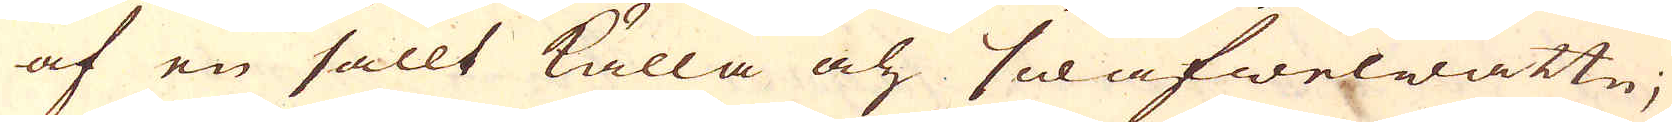af en sallt källa och swafwelwattn;
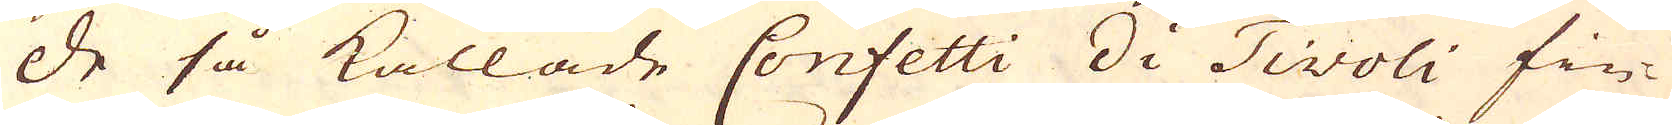De så kallade Confetti Di Tivoli fin-
